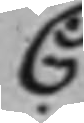C
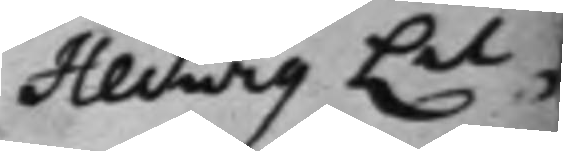Hedwig Lil¬
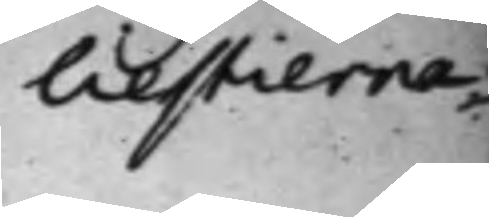liestierna,
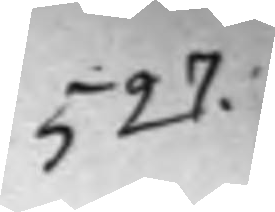527.
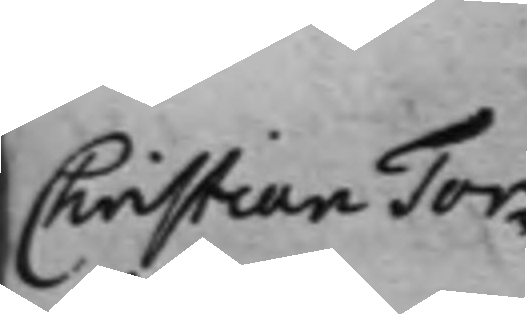Christian Tor¬
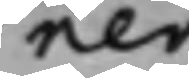ner
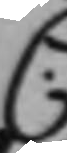C:
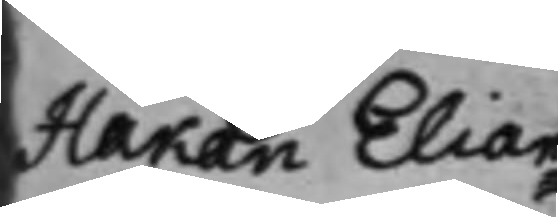Håkan Elian¬
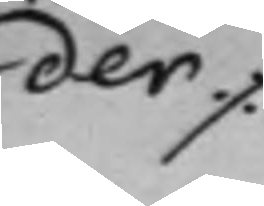der
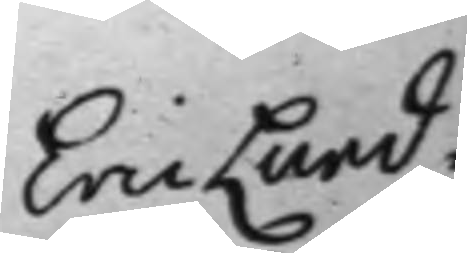Eric Lund¬
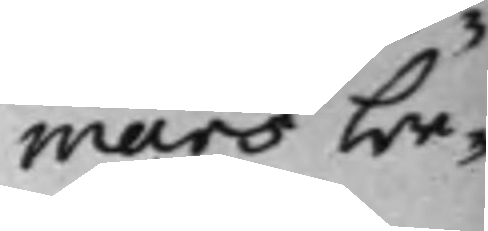mars be¬
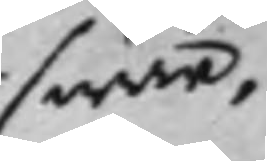swär,
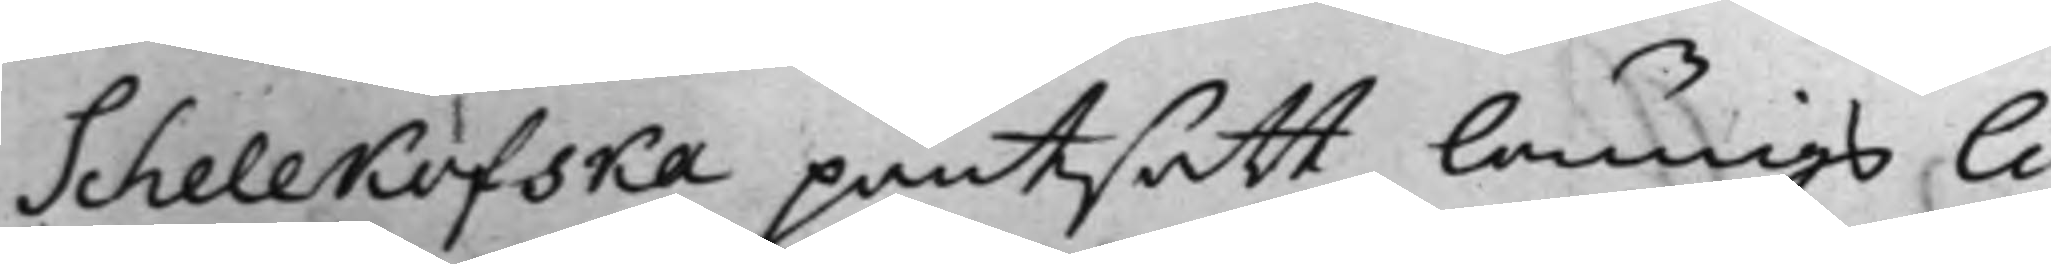Schellkofska pantsatt lönings li¬
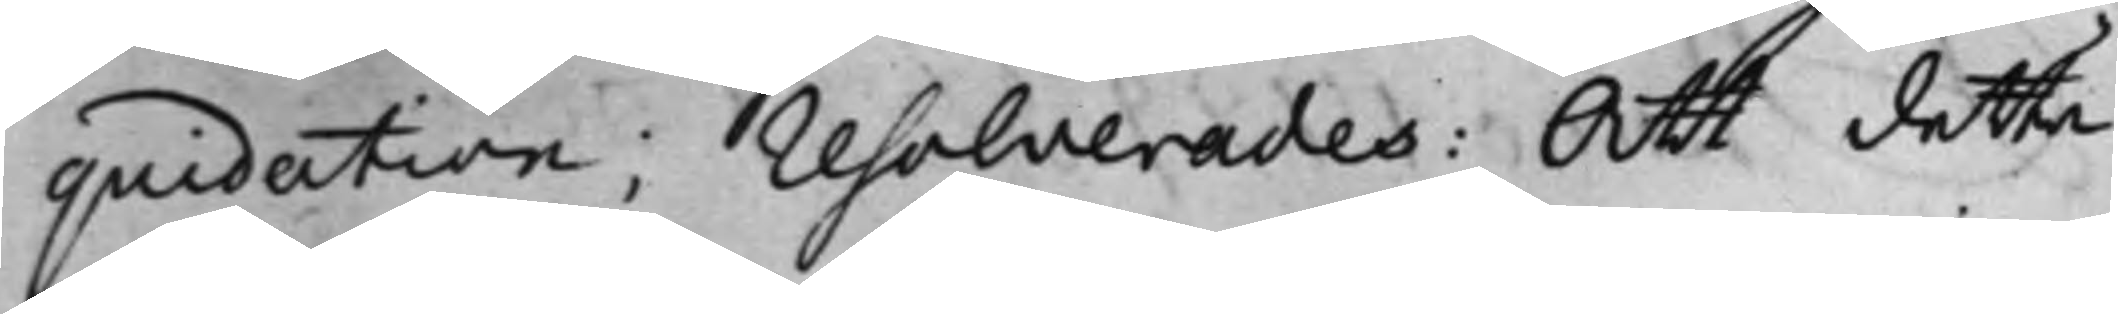quidation; resolverades: Att detta
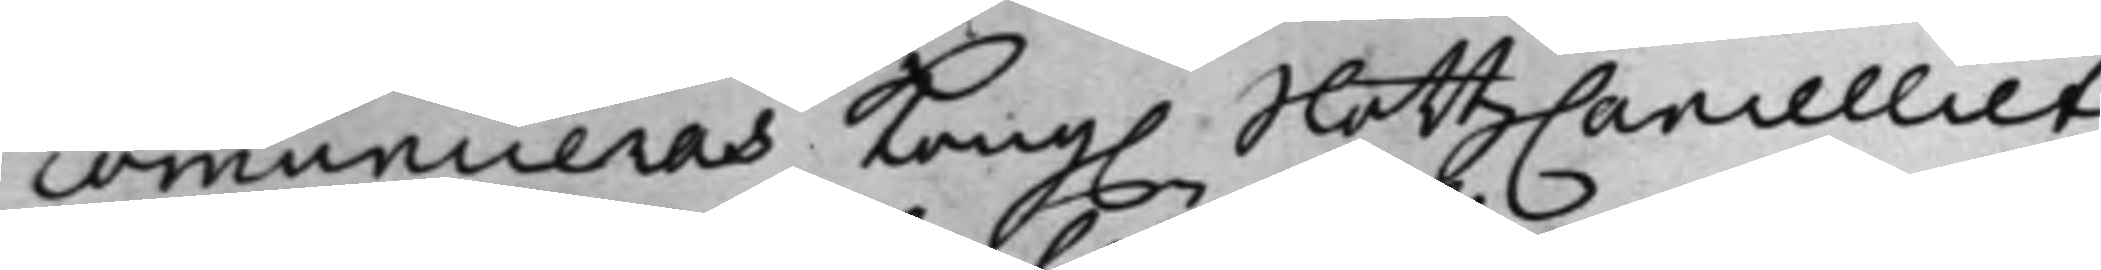communiceras Kong. SlottzCancelliet,
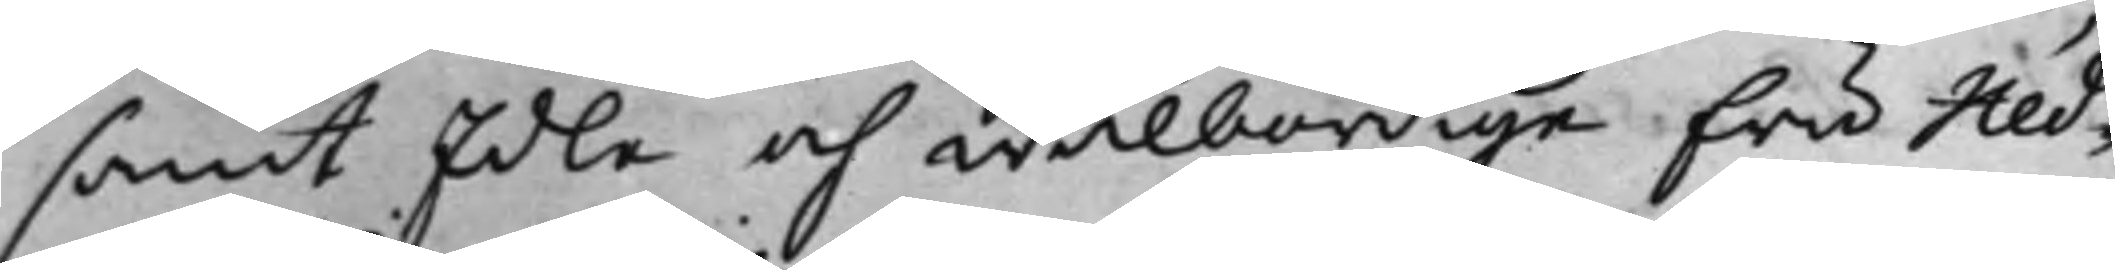samt Edle och wälbördige Fru Hed¬
